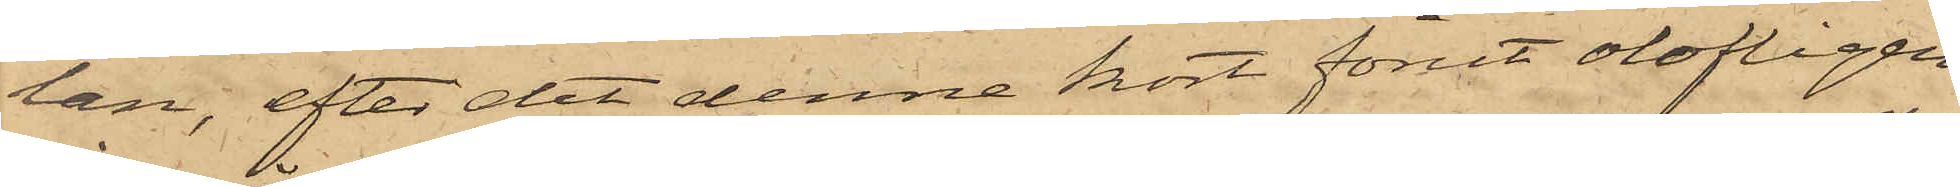lan, efter det denne kort förut olofligen
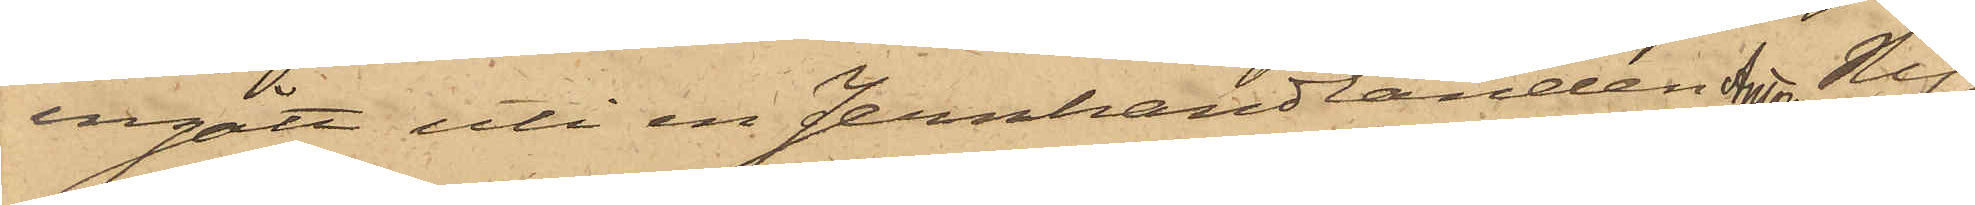ingått uti en Jernhandlanden Anton Ny¬
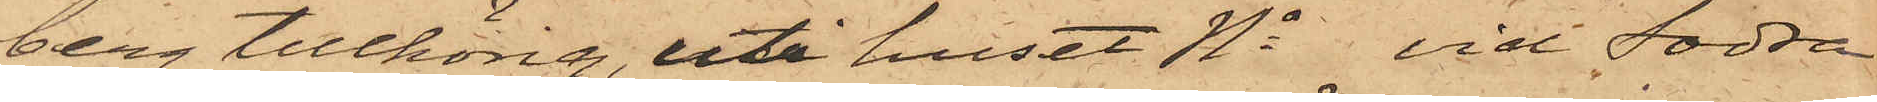berg tillhörig, uti huset No vid Södra
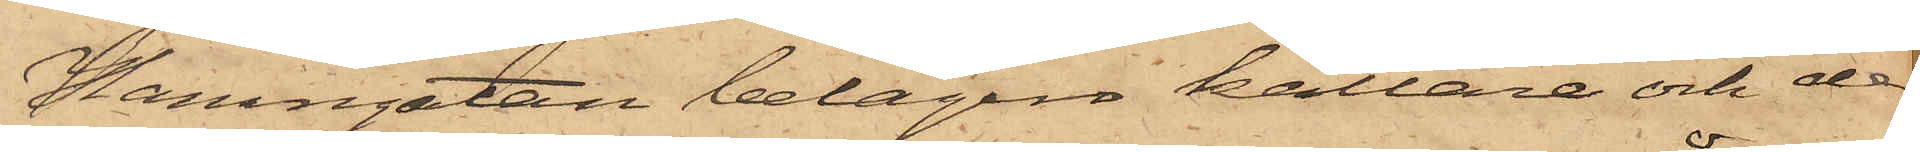Hamngatan belägne källare och der
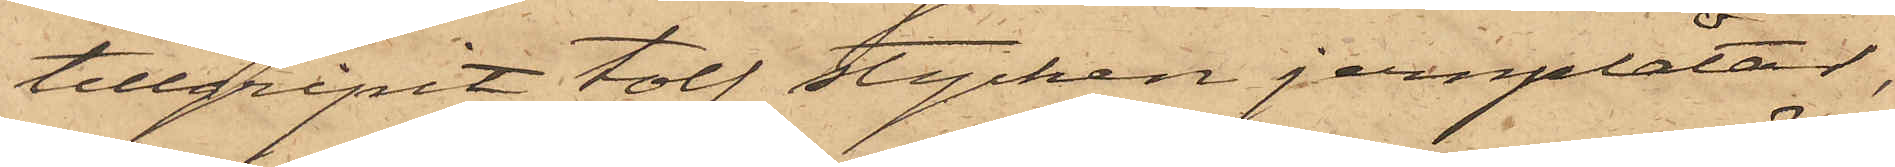tillgripit tolf stycken jernplåtar,
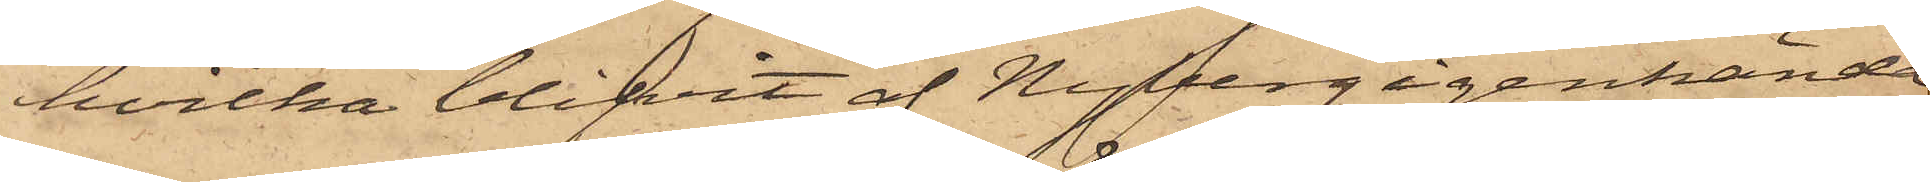hvilka blifvit af Nyberg igenkända
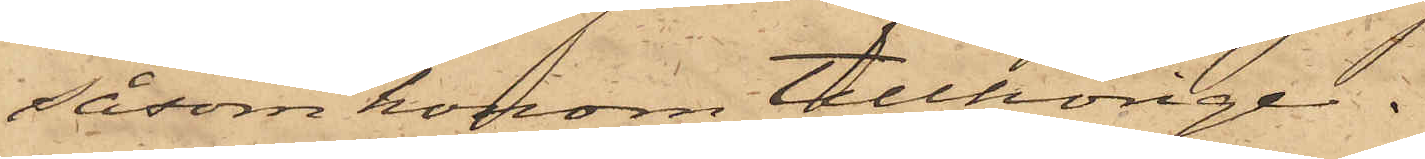såsom honom tillhörige.
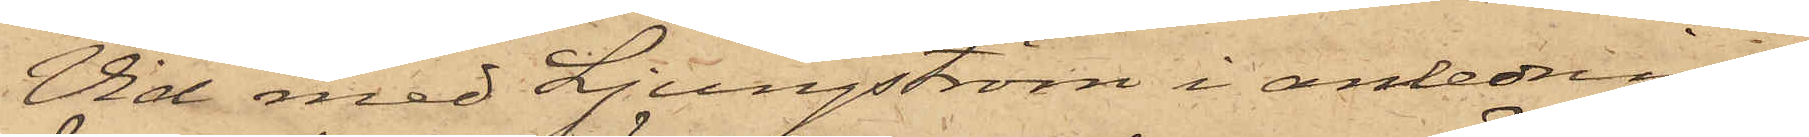Vid med Ljungström i anledning
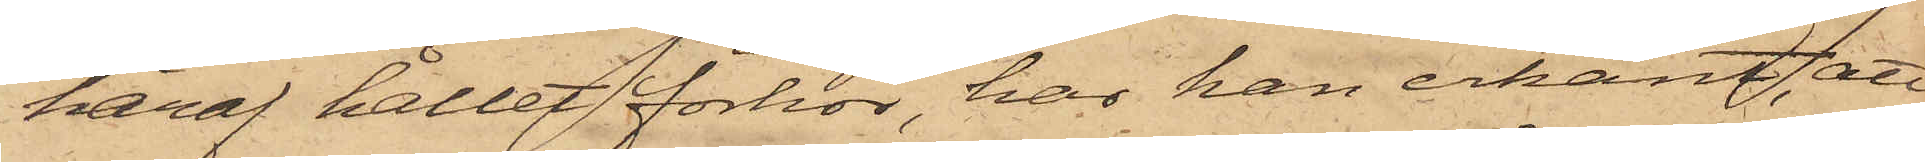häraf hållet förhör, har han erkänt, att
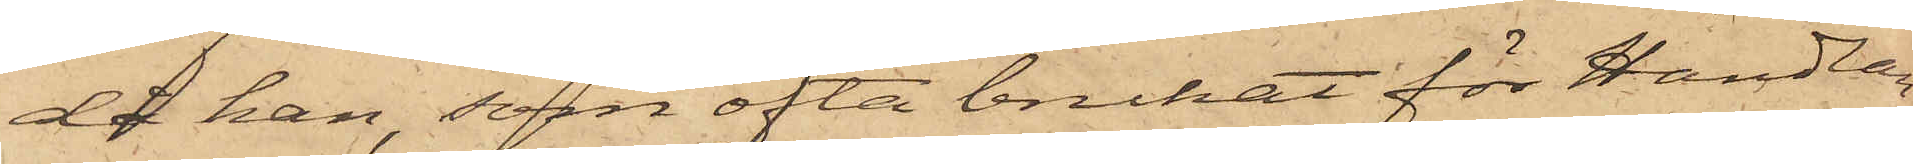då han, som ofta brukat för Handlan¬
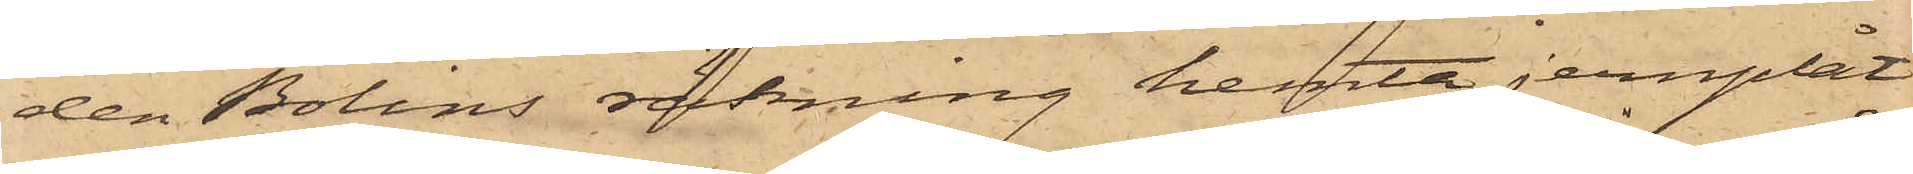den Bolins räkning hemta jernplåt
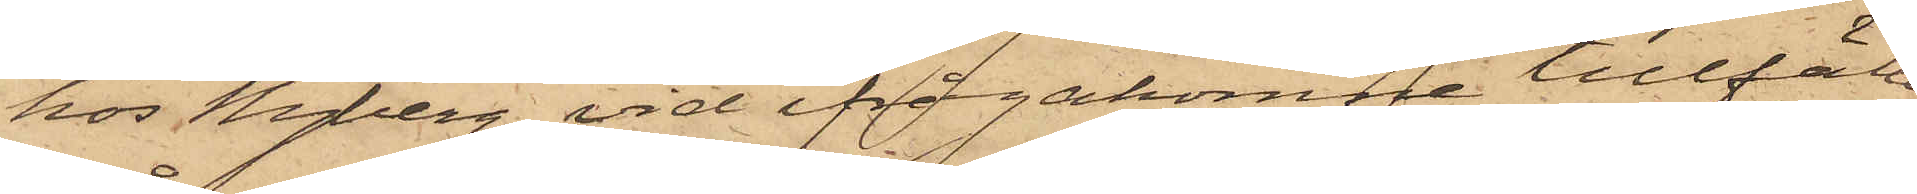hos Nyberg, vid ifrågakomne tillfälle
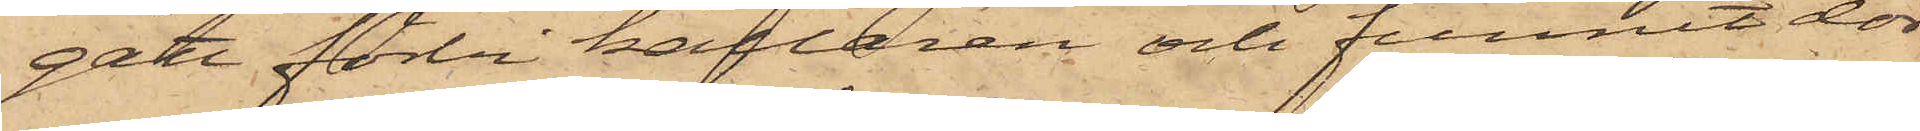gått förbi källaren och funnit dör¬
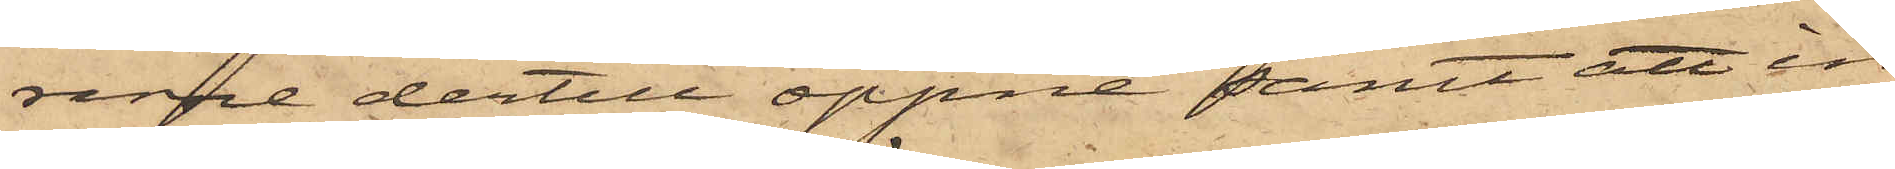rarne dertill öppne samt att in¬
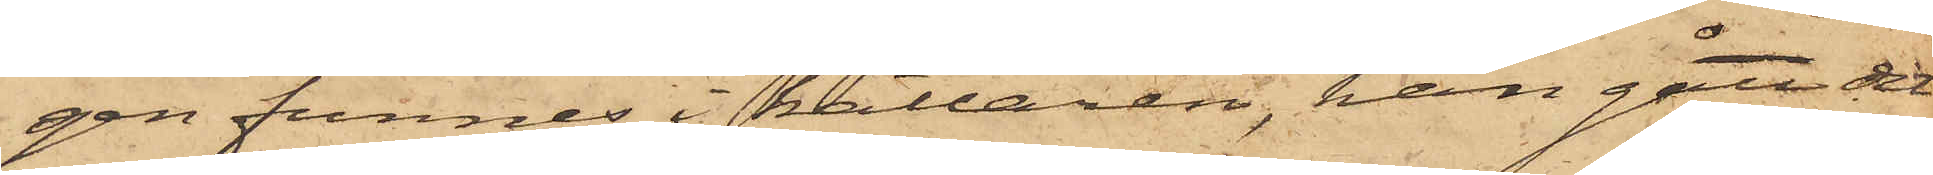gen funnes i källaren, han gått dit
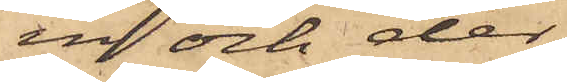in och der
